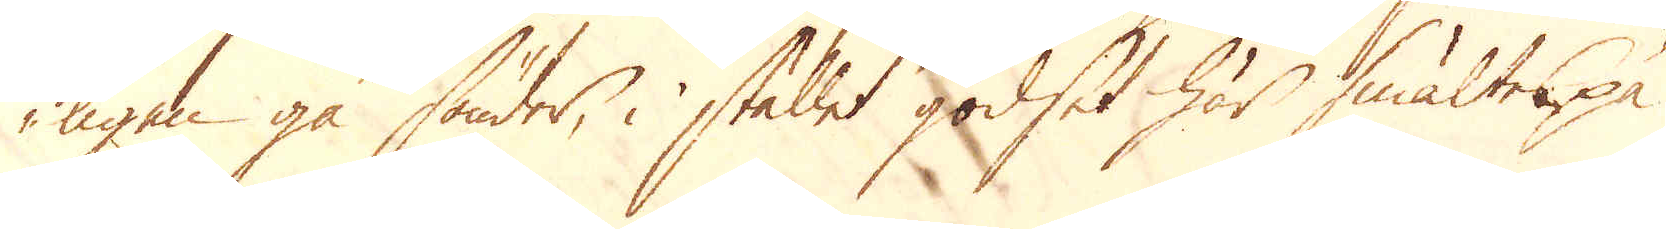ligen gå sönder, i stället godset här smältes på
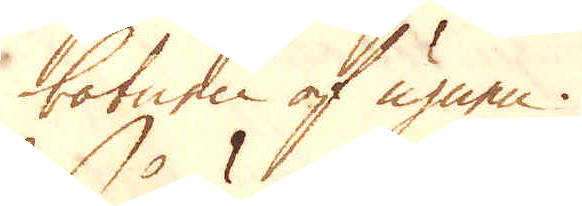botnen af ugnen.
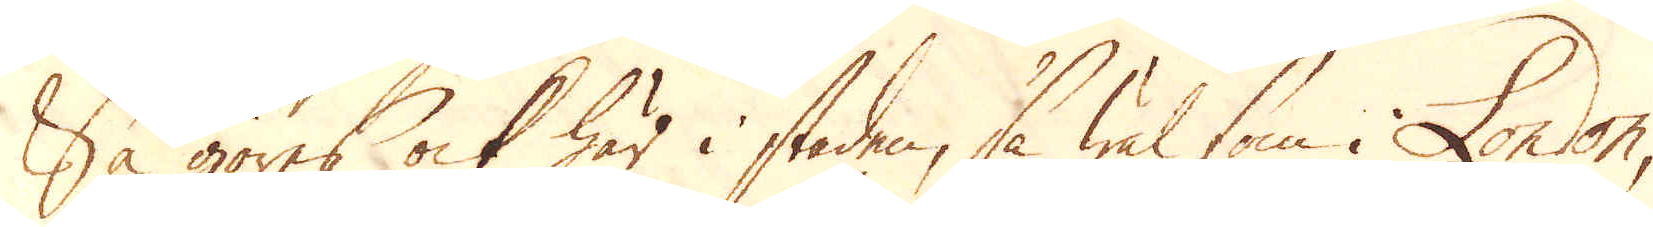Så göres ock här i staden, så wäl som i London,
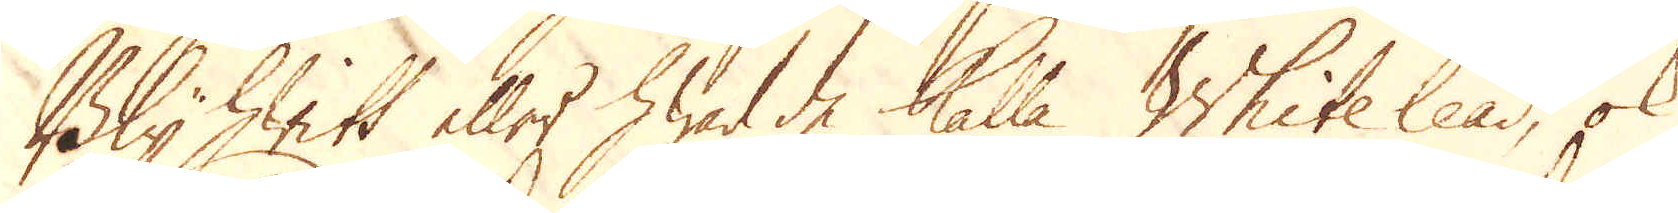Bly hwitt eller hwad de kalla Whitelead, ok
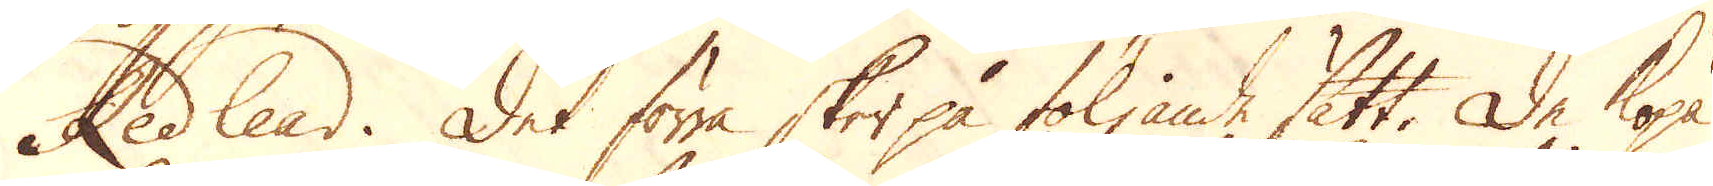Red lead. Det förra sker på följande sätt. De köpa
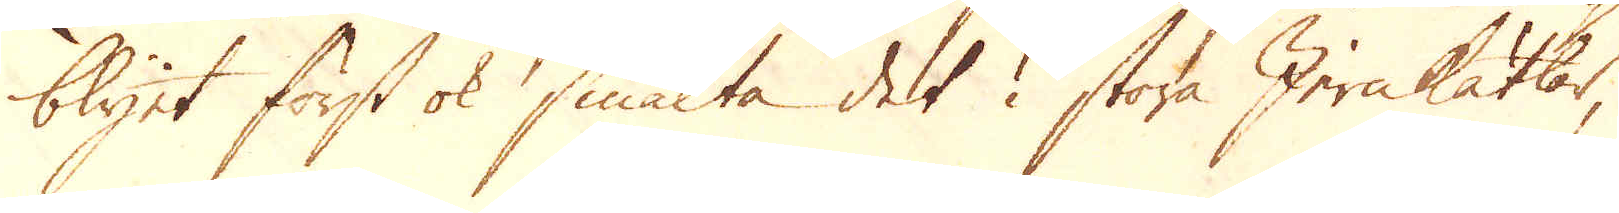blyet först ok smälta det i stora Jernkätlar,
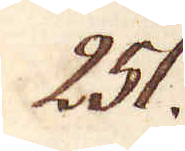251.
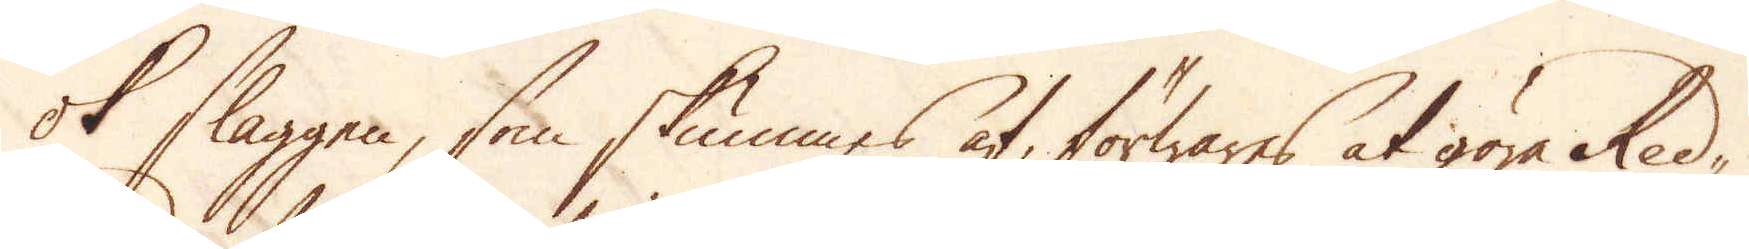ok slaggen, som skummes af, förwares at göra Red-
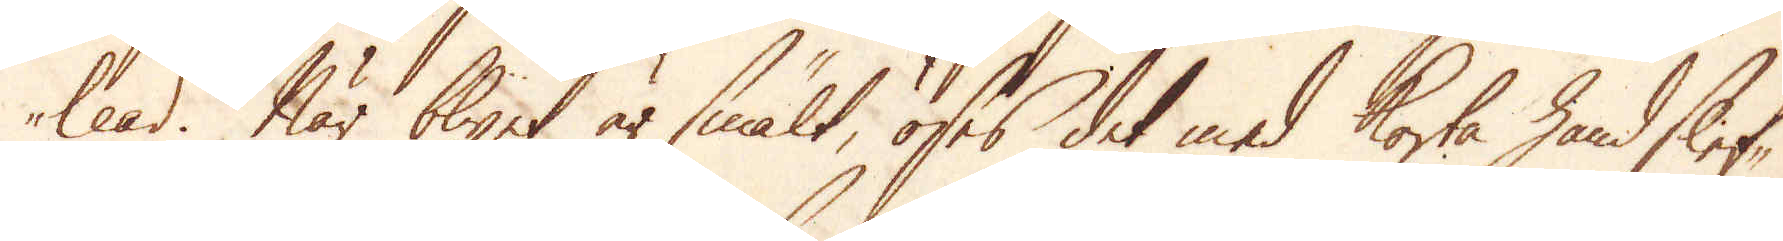lead. När blyet är smält, öses det med korta handslef-
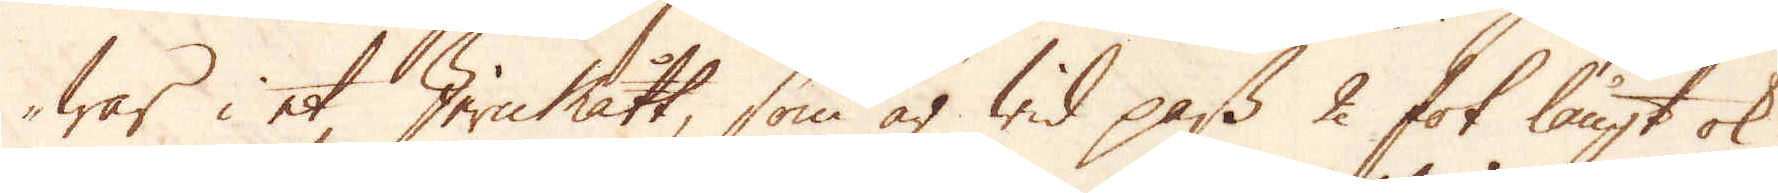war i et Jernmått, som är wid pass 2 fot långt ok
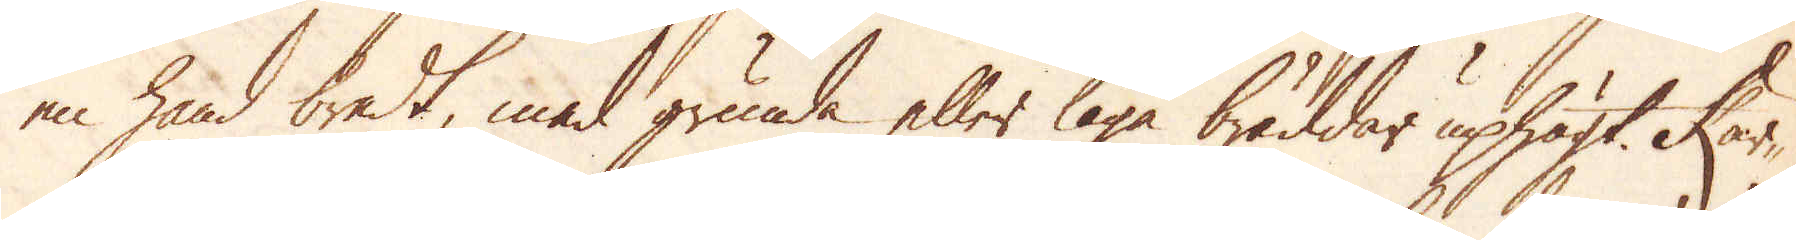en hand bredt, med grunda eller låga bräddar uphögt. Kar-
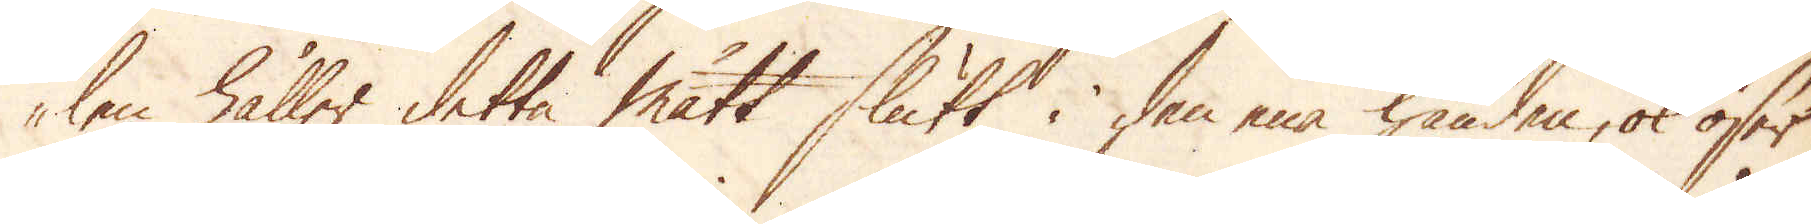len håller detta mått slutt i den ena handen, ok öser
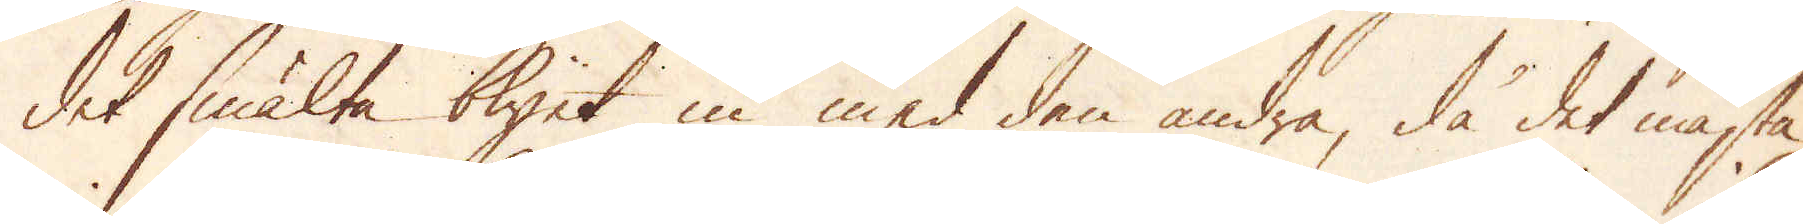det smälta blyet in med den andra, då det mästa
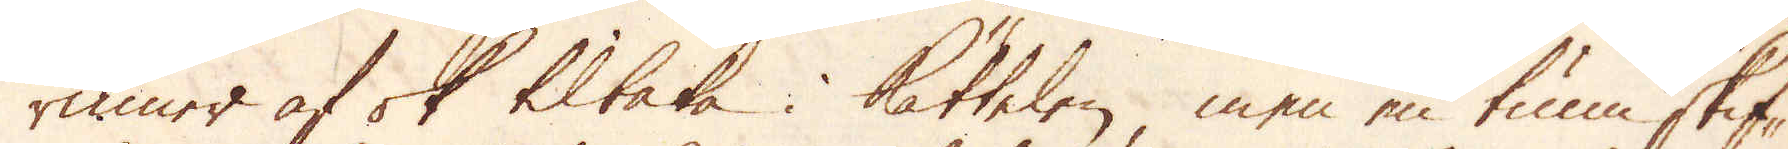rinner af ok tilbaka i kättelen, men en tunn skif-
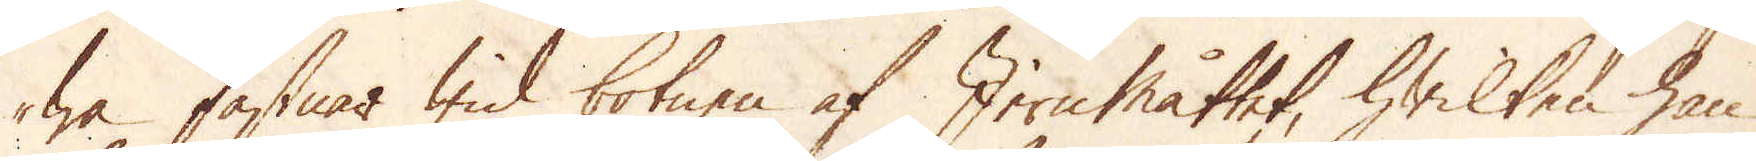wa fastnar wid botnen af Jernmåttet, hwilken han
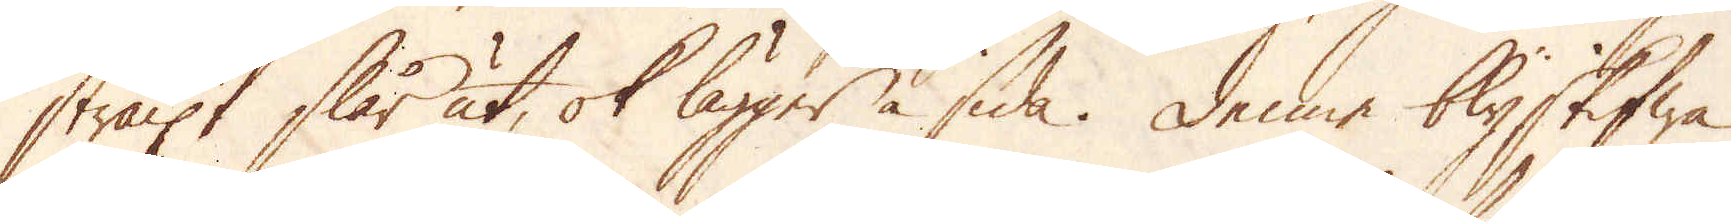straxt slår ut, ok lägger å sida. Denne blyskifwa
